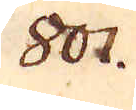801.
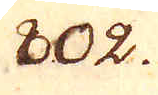802.
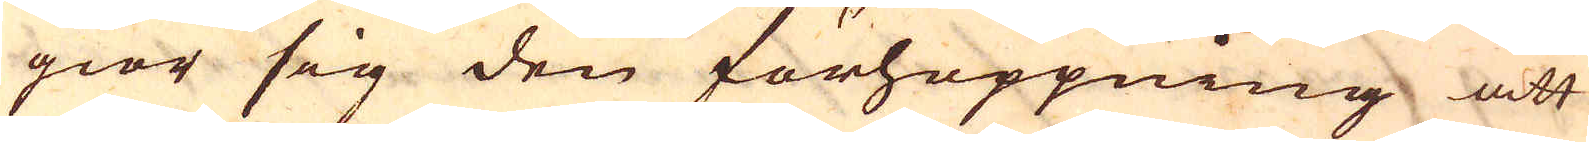giör sig den förhoppning att
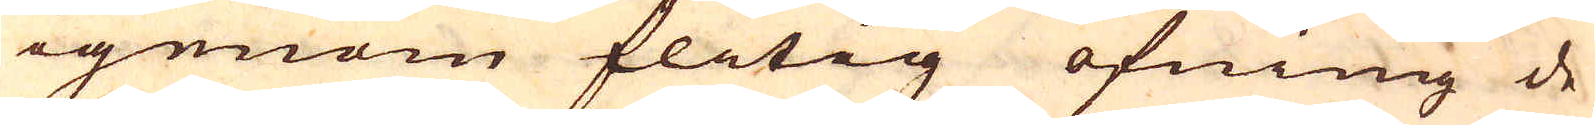igenom flitig öfning de
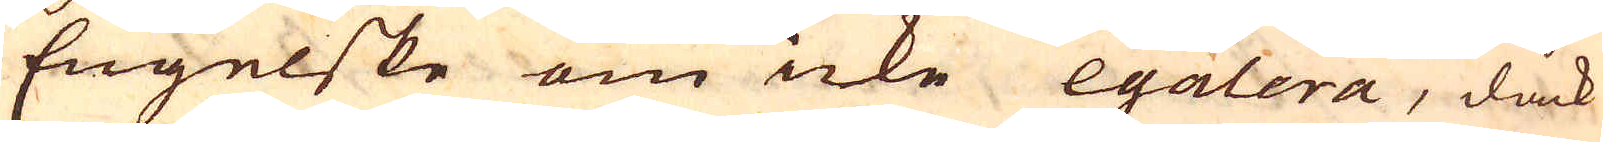Engelske om icke egalera, dock
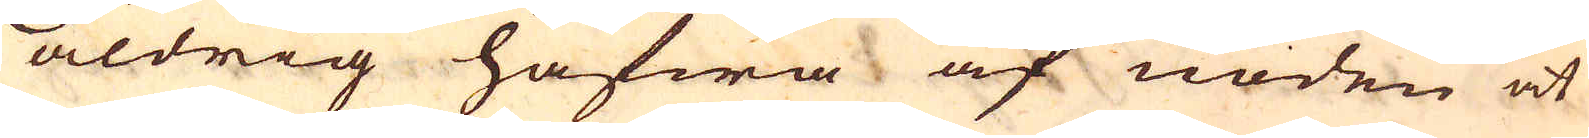aldrig hafwa af nöden at
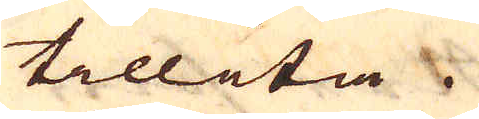tillita.
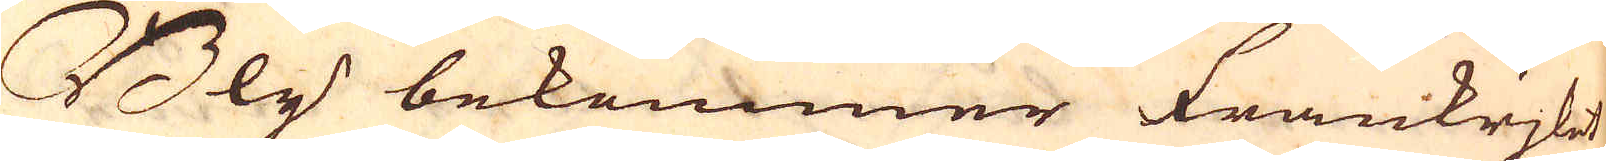Bly bekommer Frankrjket
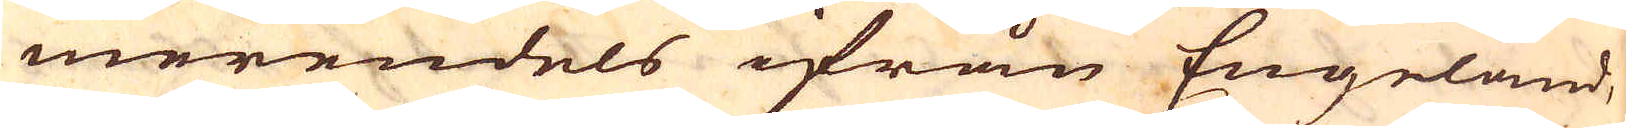merendels ifrån Engeland,
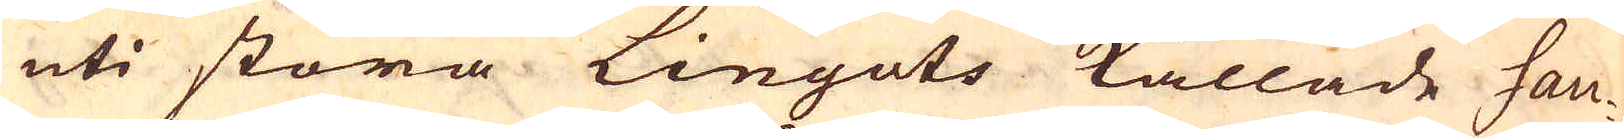uti stora Linguls kallade Sau-
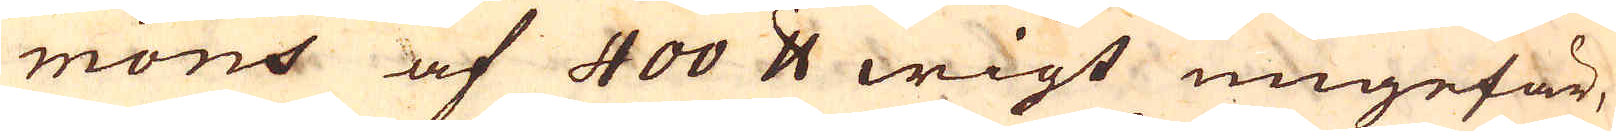mons af 400 skålpund wigt ungefär,
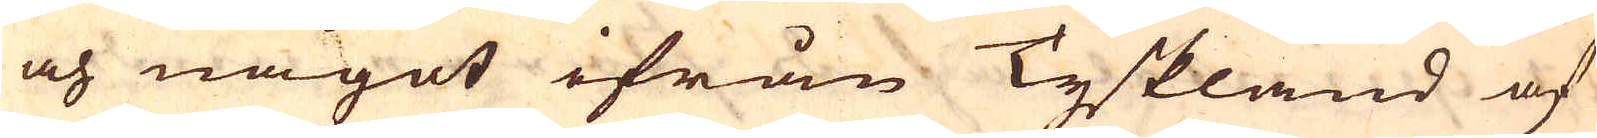och något ifrån Tyskland af
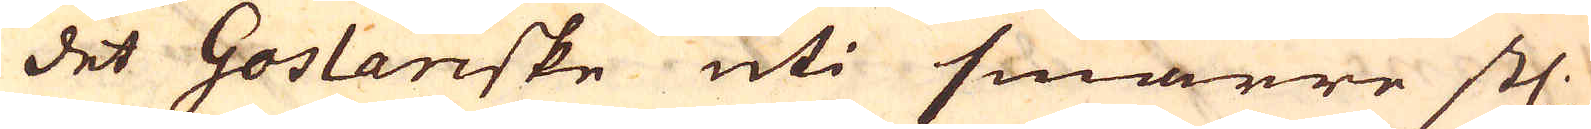det Goslanske uti smärre stl.
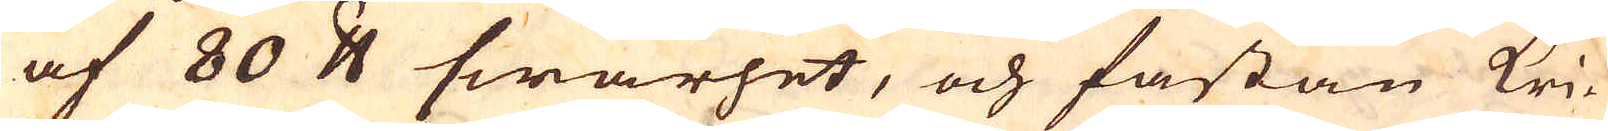af 80 skålpund swårhet, och fastän kri-
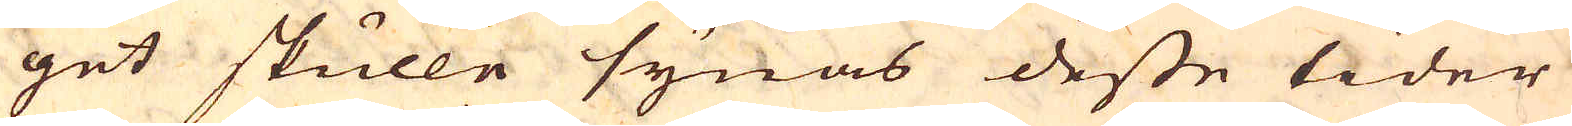get skulle synas desse tider
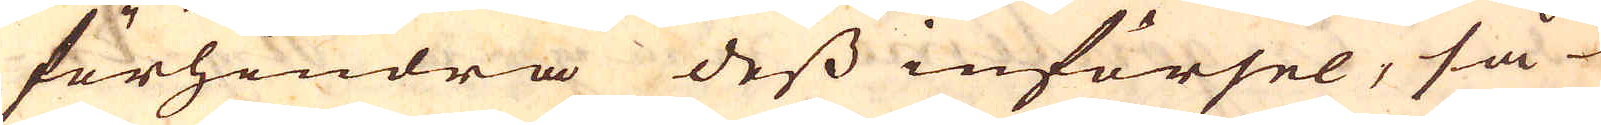förhindra dess införsel, så
